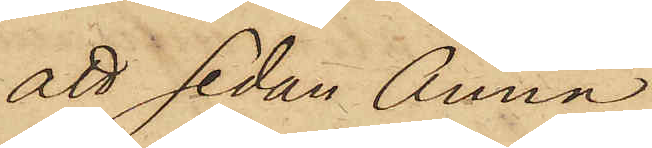att sedan Anna
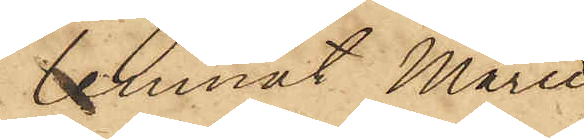lemnat Marie
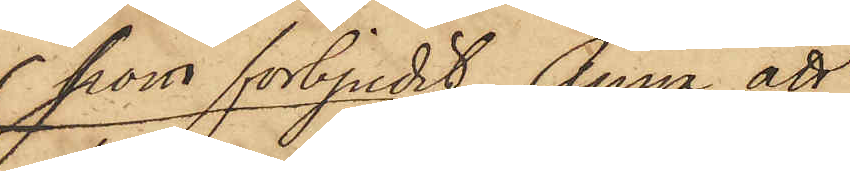som förbjudit Anna att
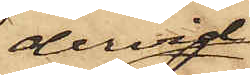dervid
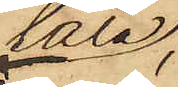tala;
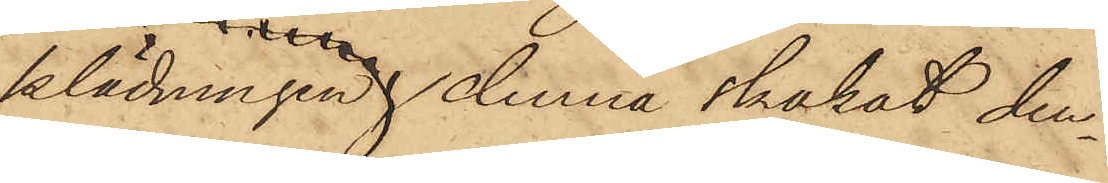klädningen, denna skakat den¬
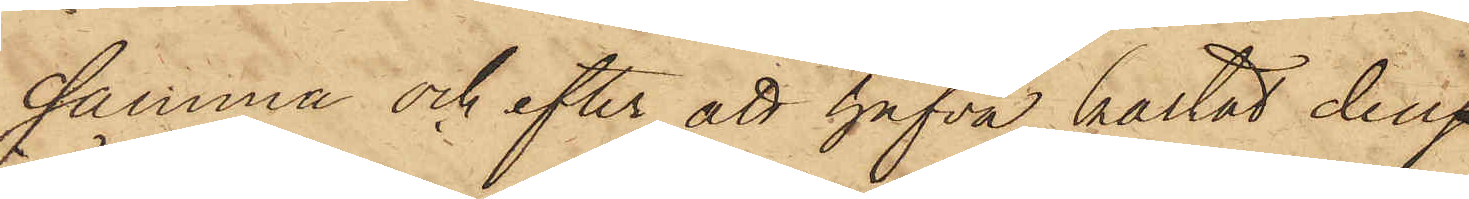samma och efter att hafva kastat den
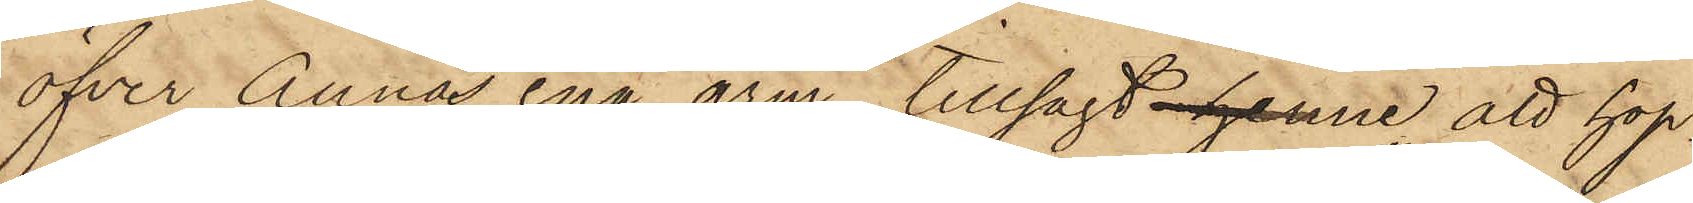öfver Annas ena arm, tillsagt henne, att "hop¬
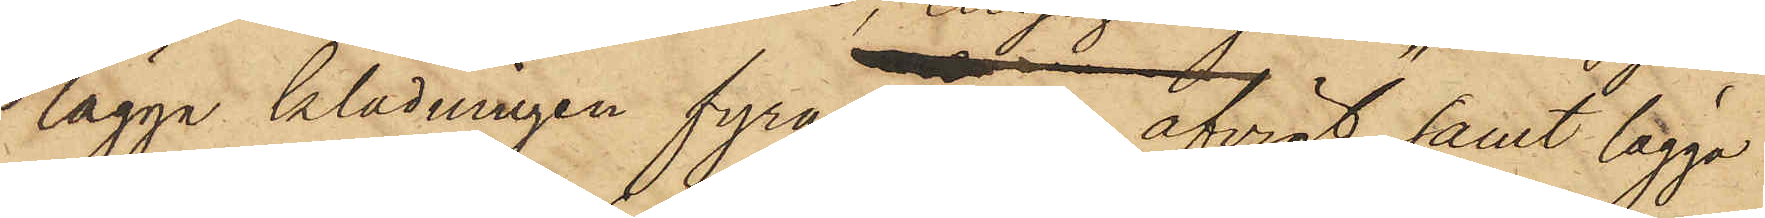lägga klädningen fyra ganger afvigt" samt lägga
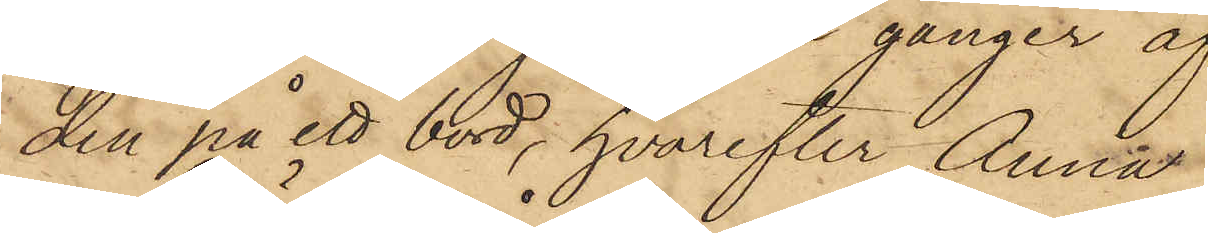den på ett bord, hvarefter Anna
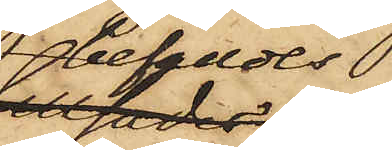befalldes 
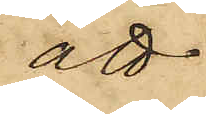att
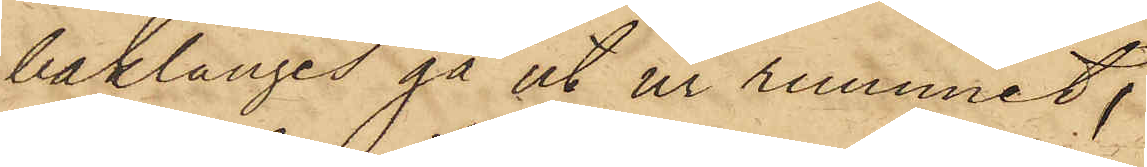baklänges gå ut ur rummet;
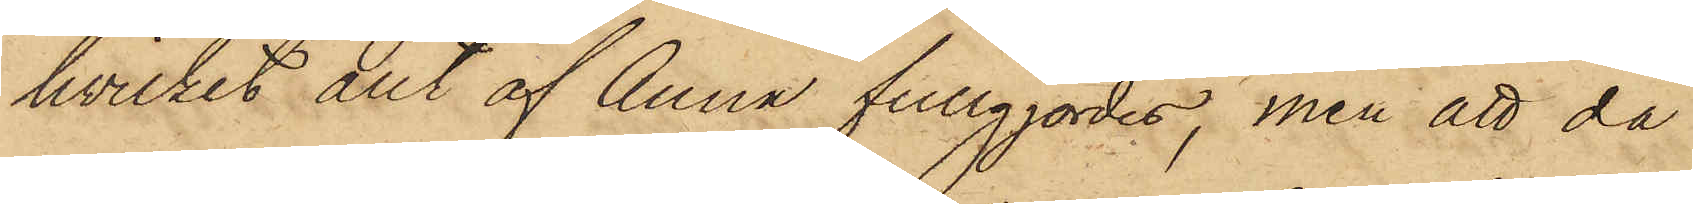hvilket allt af Anna fullgjordes, men att då
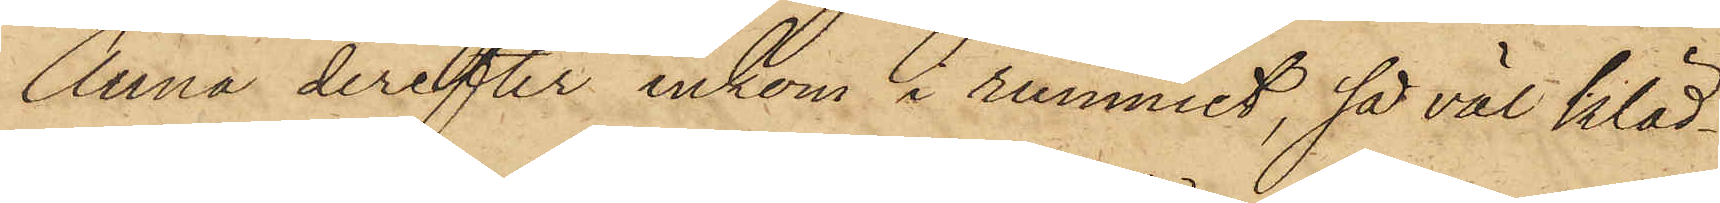Anna derefter inkom i rummet, så väl kläd¬
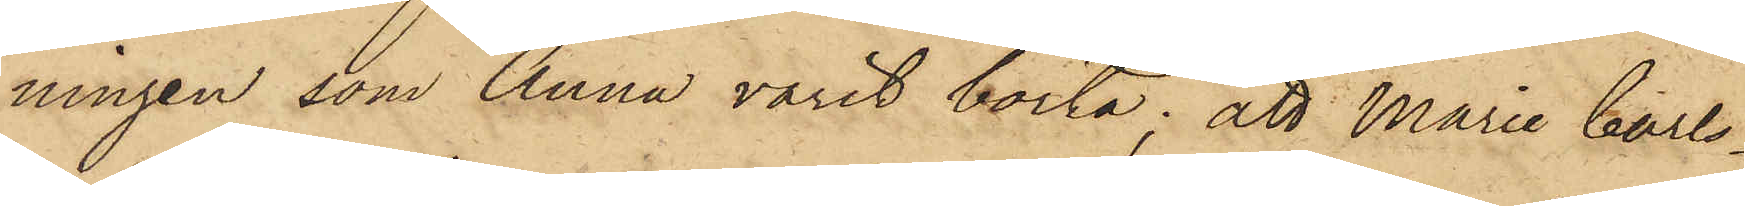ningen som Anna varit borta; att Marie Carls¬
